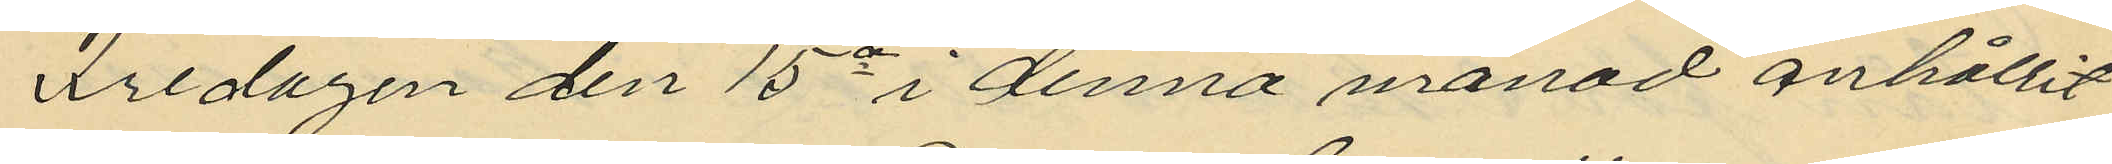Fredagen den 15e i denna månad anhållit
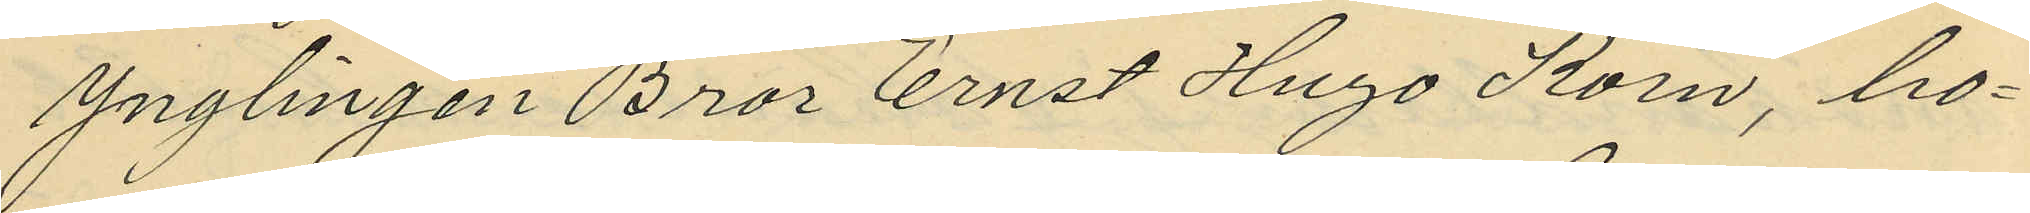ynglingen Bror Ernst Hugo Korn, bo¬
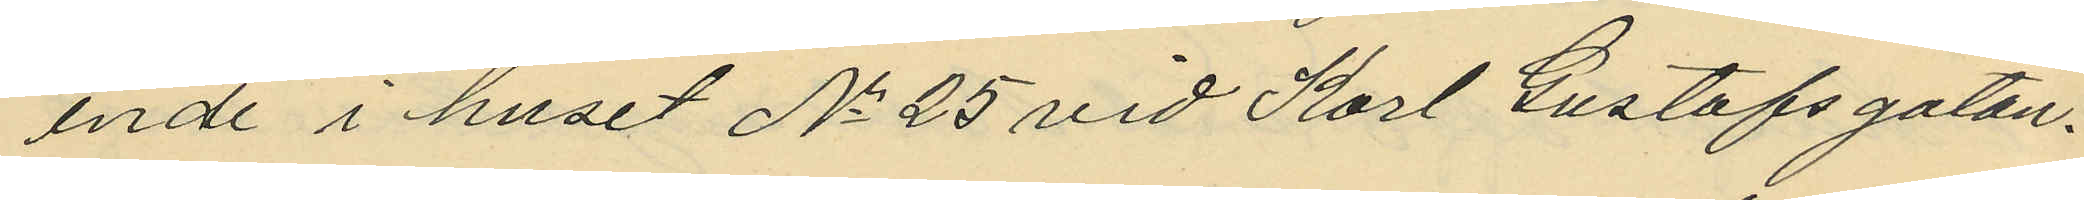ende i huset No 25 vid Karl Gustafsgatan.
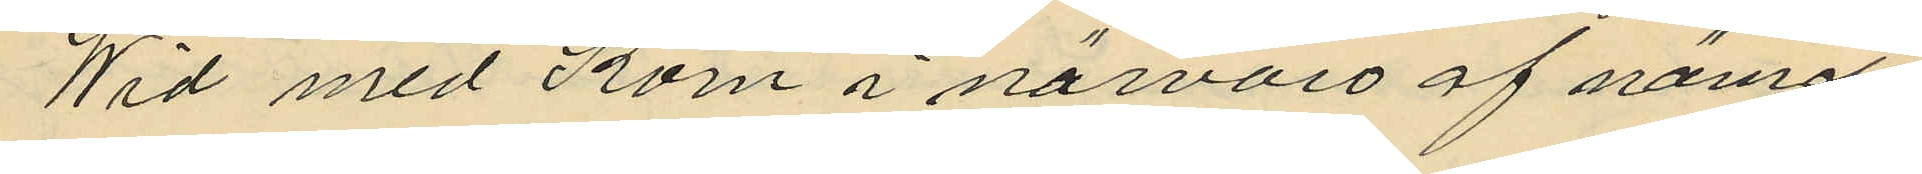Wid med Korn i närvaro af nämde
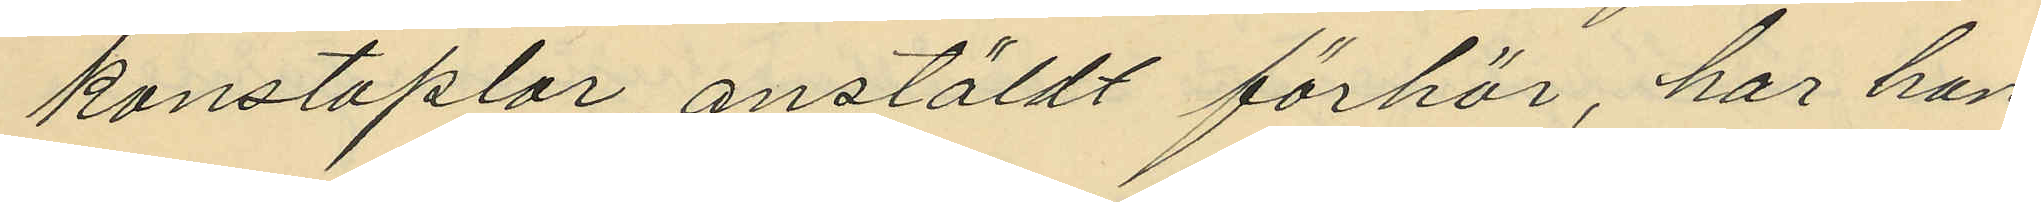konstaplar, anställdt förhör, har han
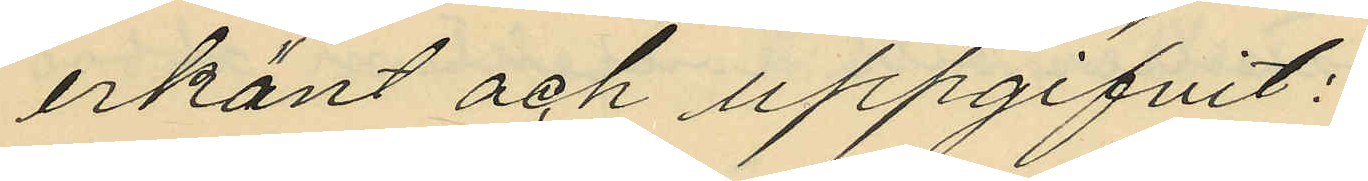erkänt och uppgifvit:
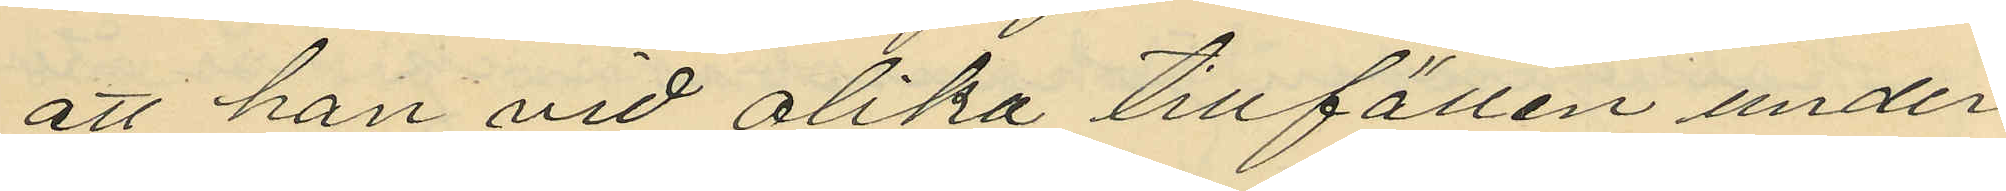att han vid olika tillfällen under
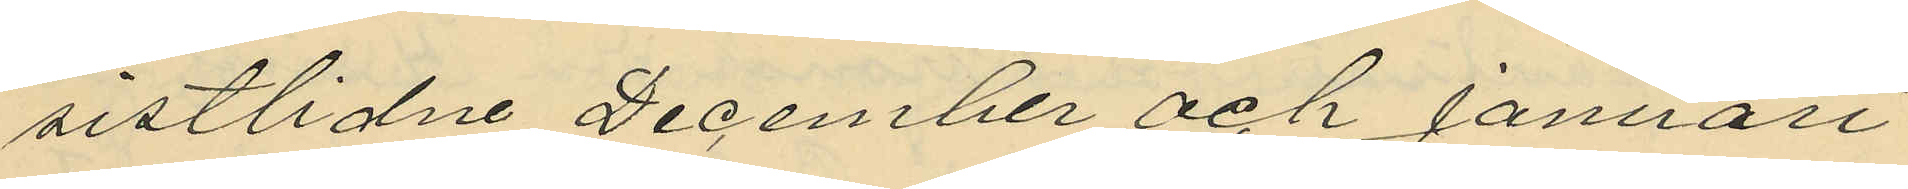sistlidne December och Januari
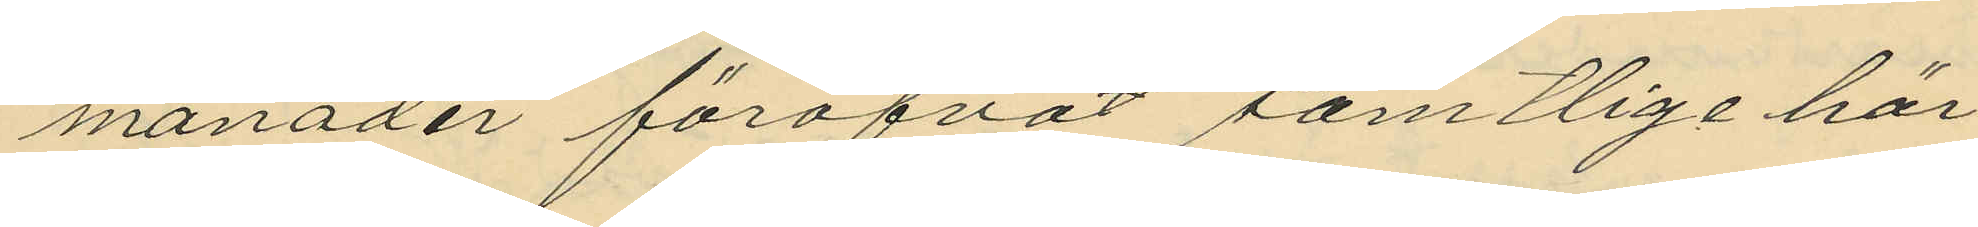månader föröfvat samtlige här
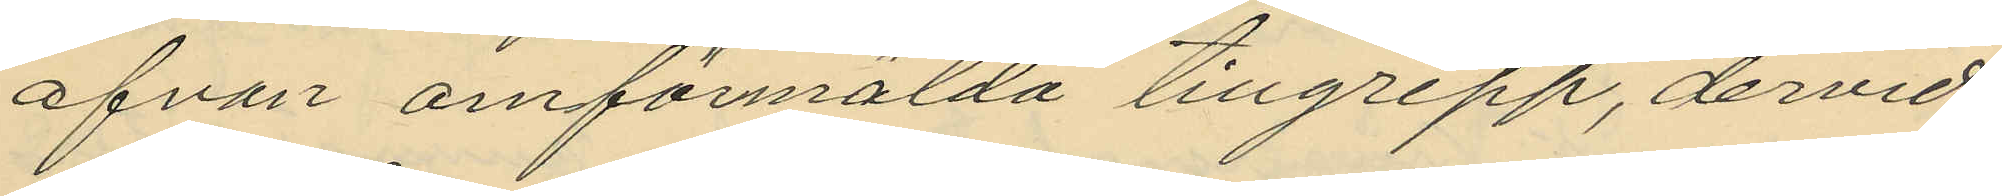ofvan omförmälda tillgrepp, dervid
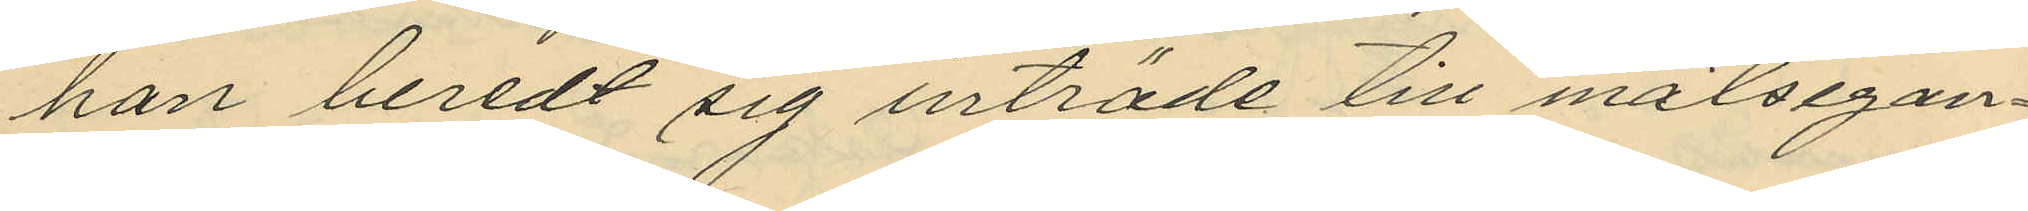han beredt sig inträde till målsegan¬
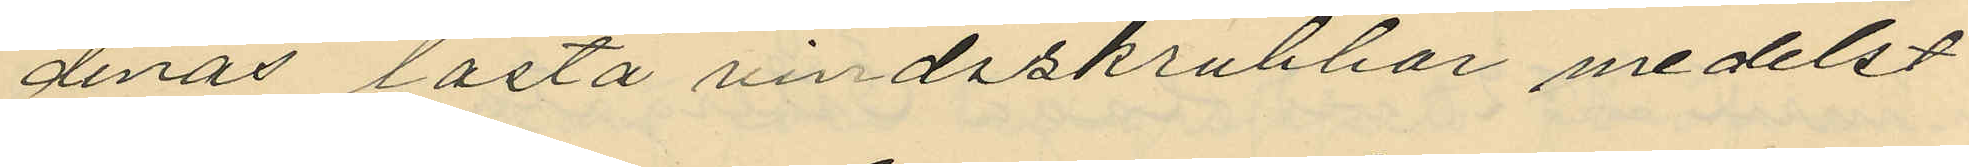denas låsta vindsskrubbor medelst
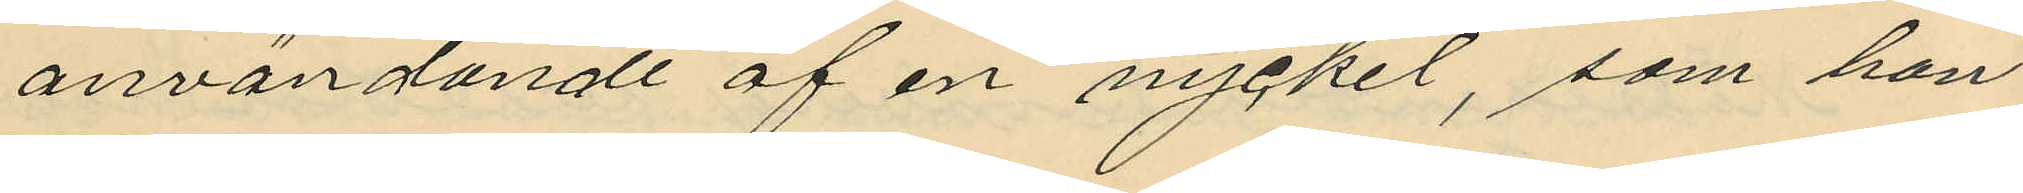användande af en nyckel, som han
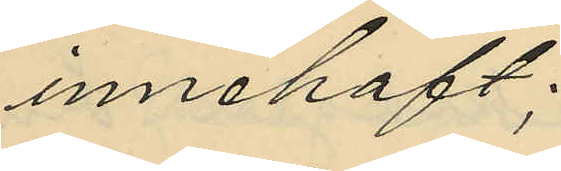innehaft;
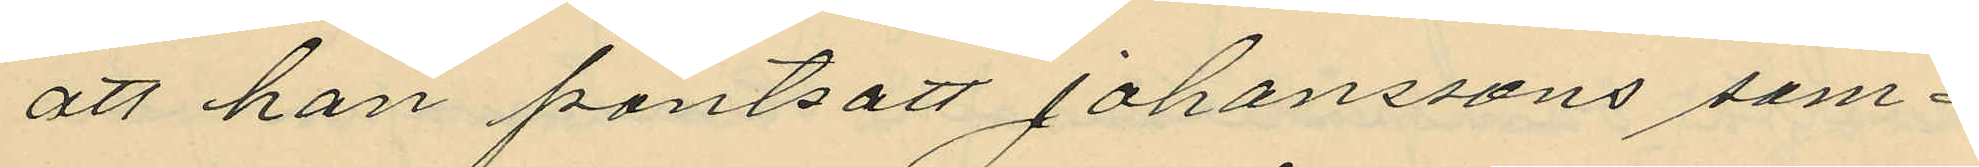att han pantsatt Johanssons som¬
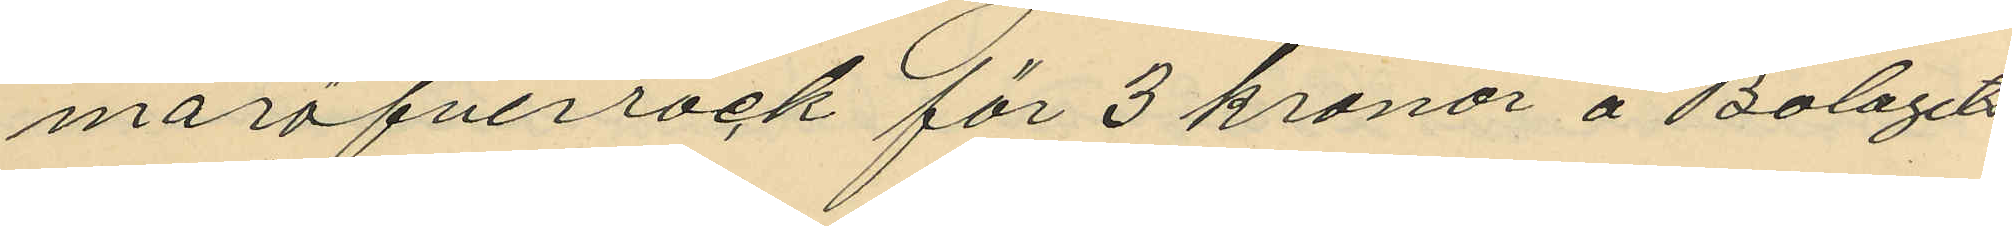maröfverrock för 3 kronor å Bolagets
